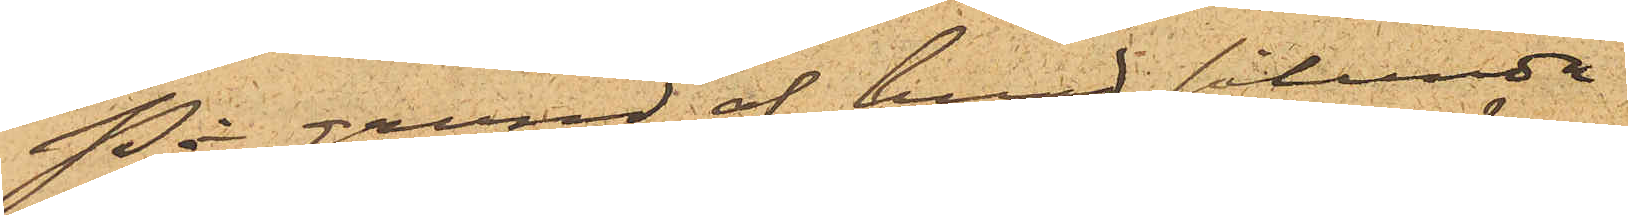På grund af hvad sålunda
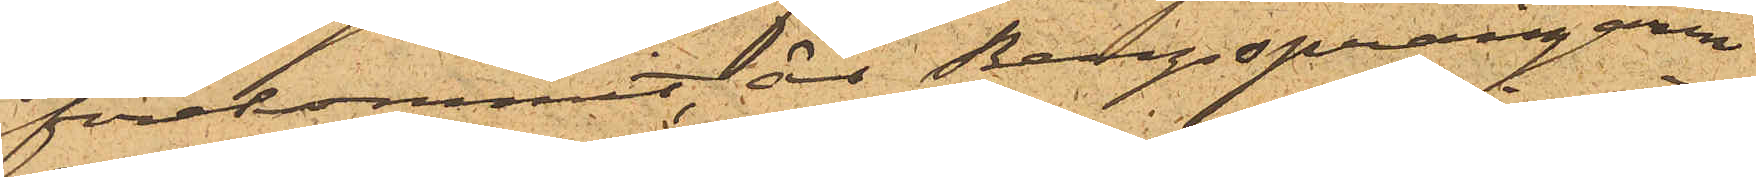förekommit, är Bergsprängaren
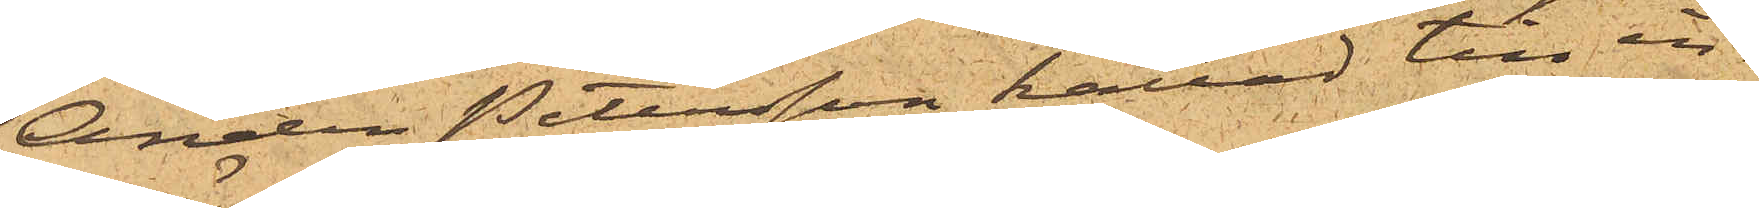Anders Petersson kallad till in¬
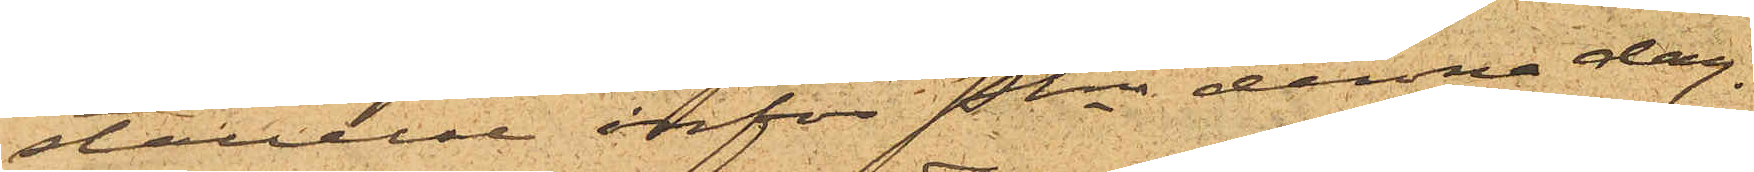ställelse inför Pkn denna dag.
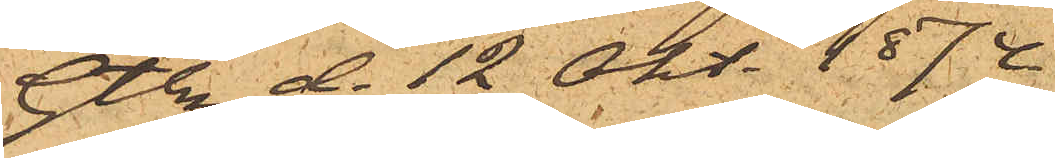Gtbg d. 12 Okt. 1874.
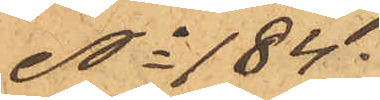No 184.
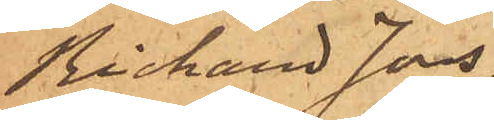Richard Jons¬
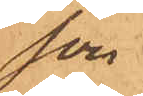son
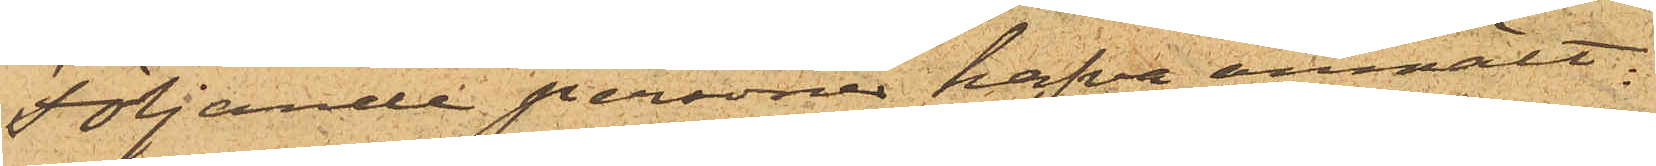Följande personer hafva anmält:
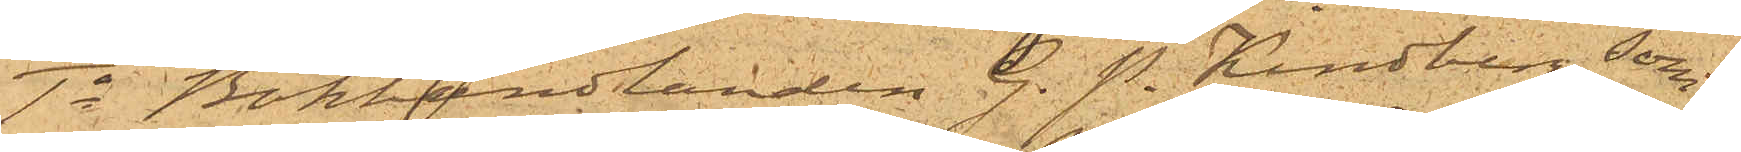1o Bokhandlanden G. P. Kindberg, som
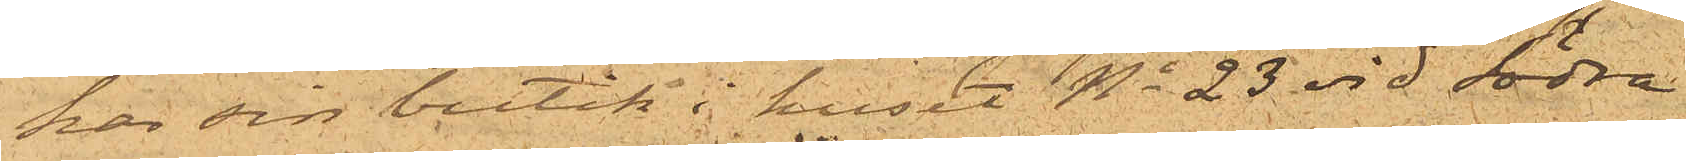har sin butik i huset No 23 vid Södra
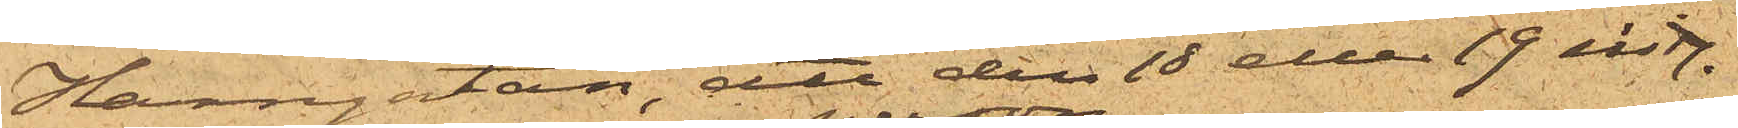Hamngatan, att den 18 eller 19 sist.
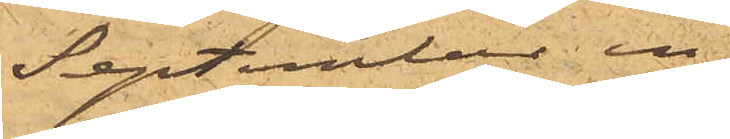September en
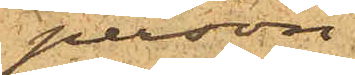person
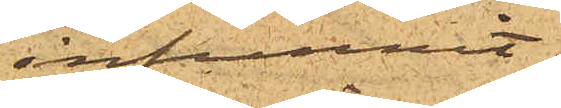infunnit
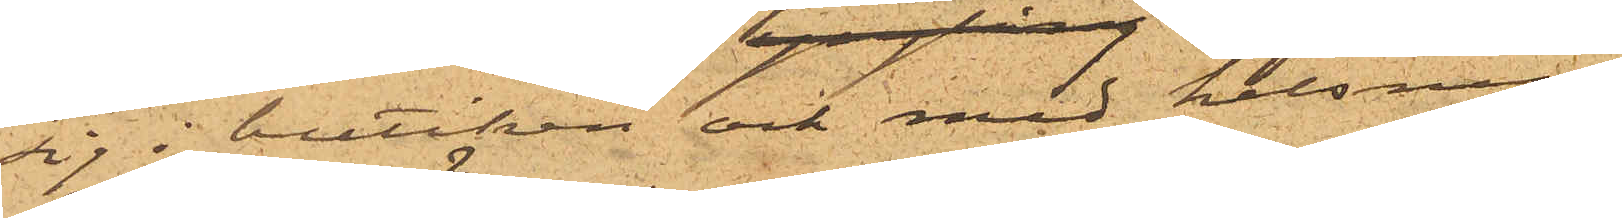sig i butiken och med helsning
